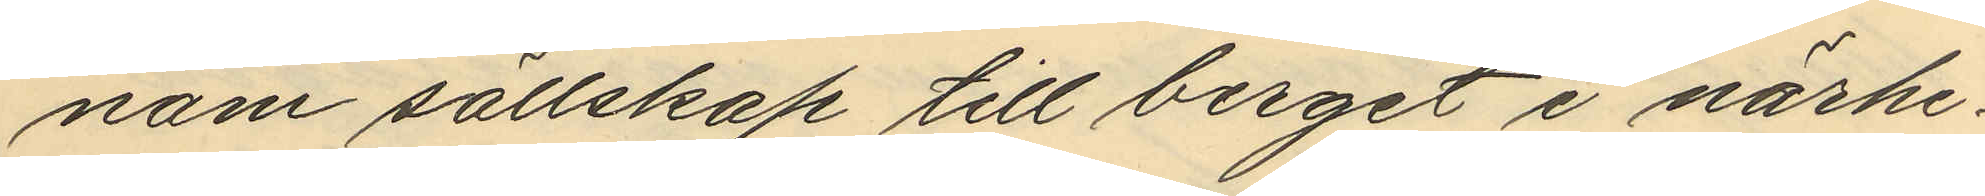nom sällskap till berget i närhe¬
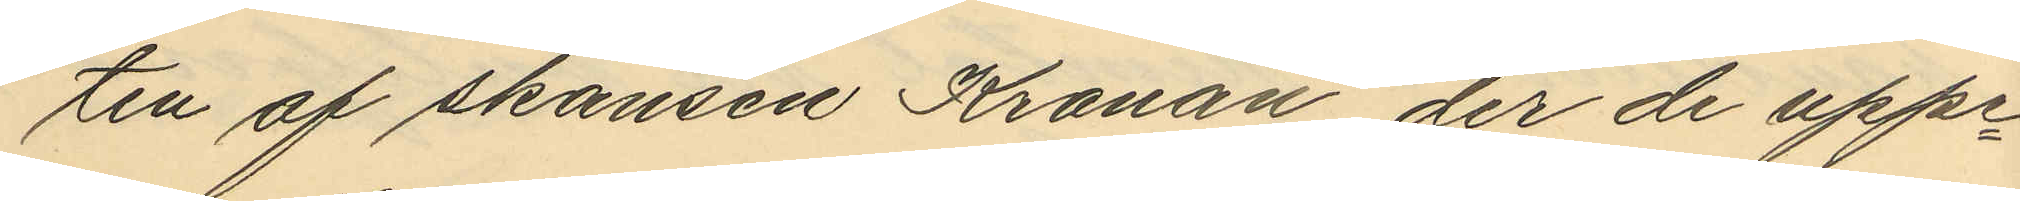ten af skansen Kronan, der de uppe¬
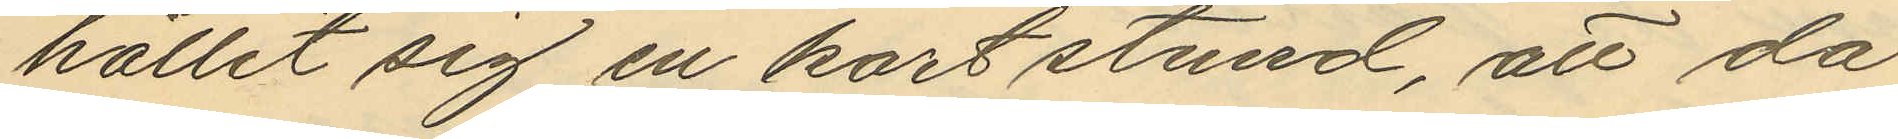hållit sig en kort stund, att då
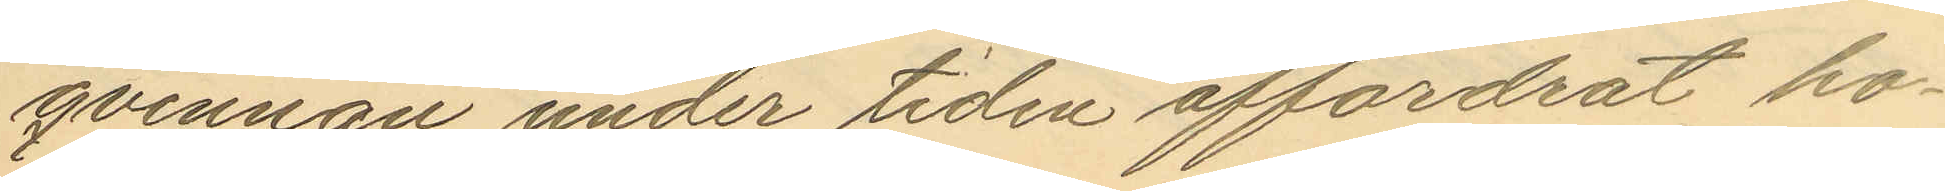qvinnan under tiden affordrat ho¬
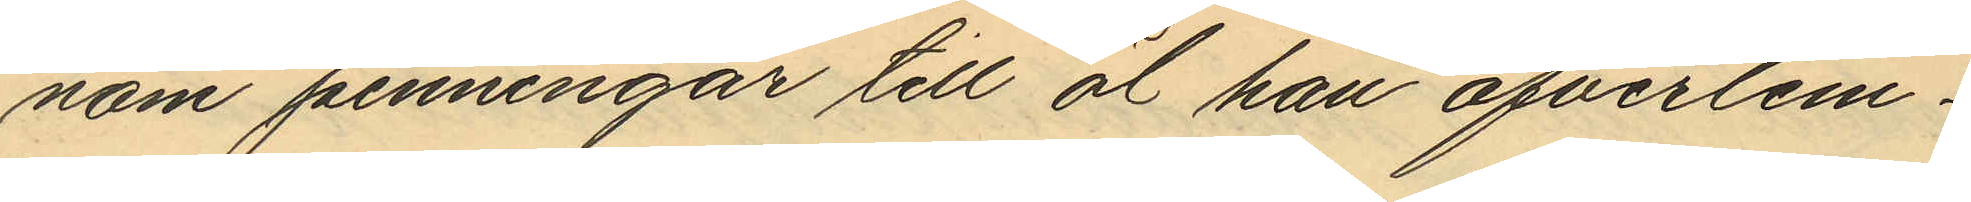nom penningar till öl han öfverlem¬
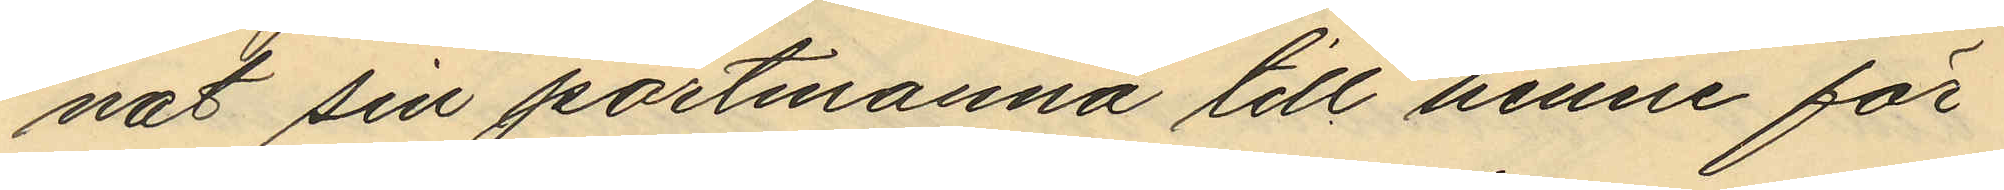nat sin portmonnä till henne för
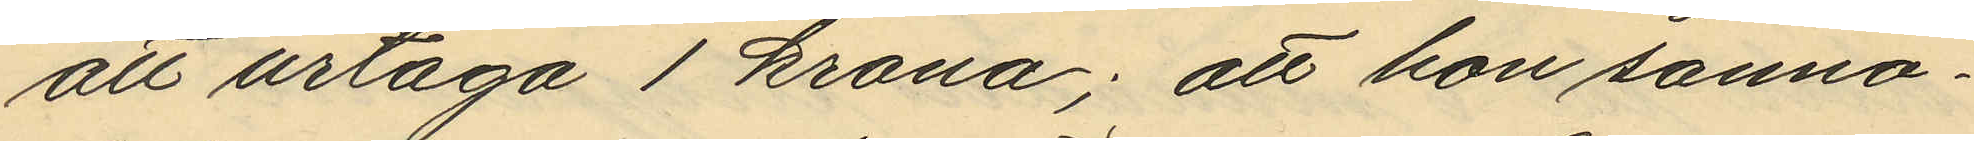att urtaga 1 krona; att hon sanno¬
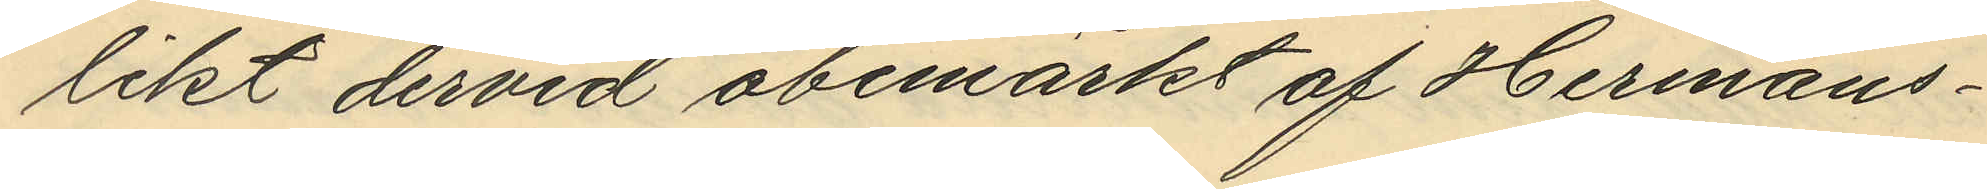likt dervid obemärkt af Hermans¬
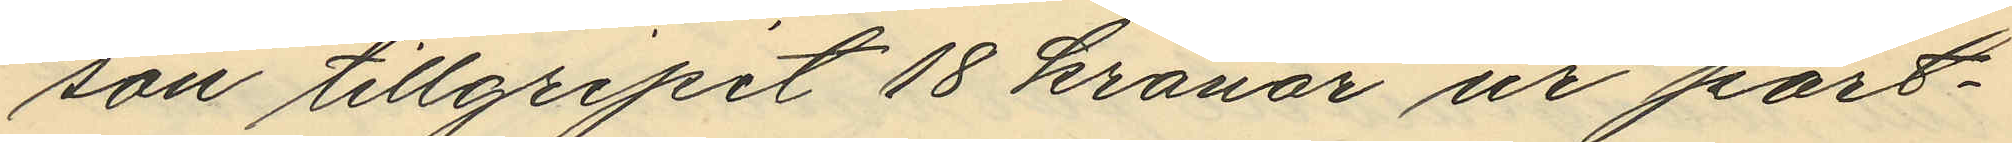son tillgripit 18 kronor ur port¬
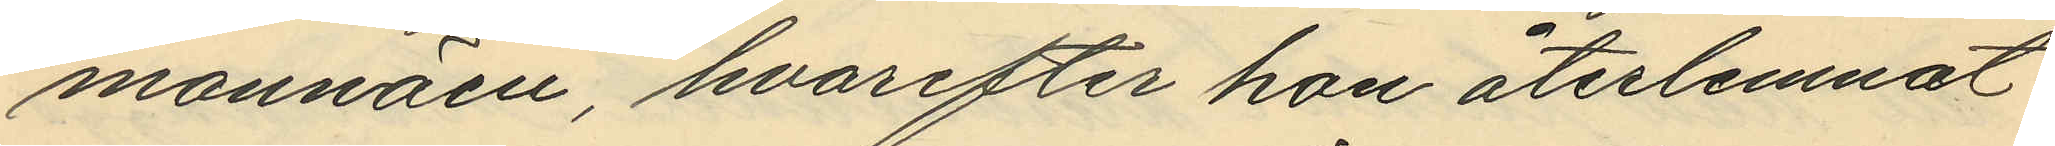monnäen, hvarefter hon återlemnat
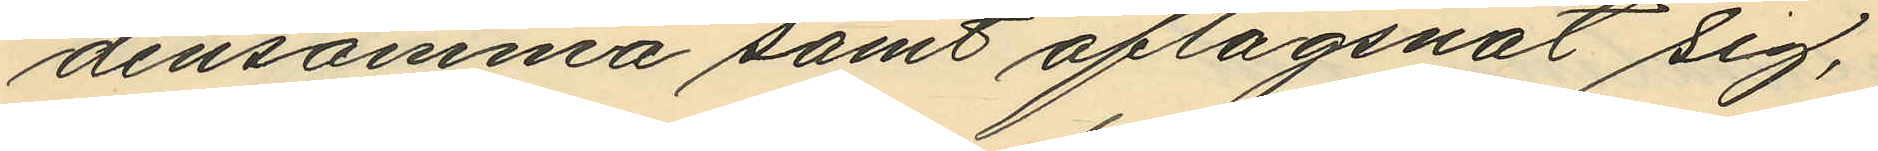densamma samt aflägsnat sig,
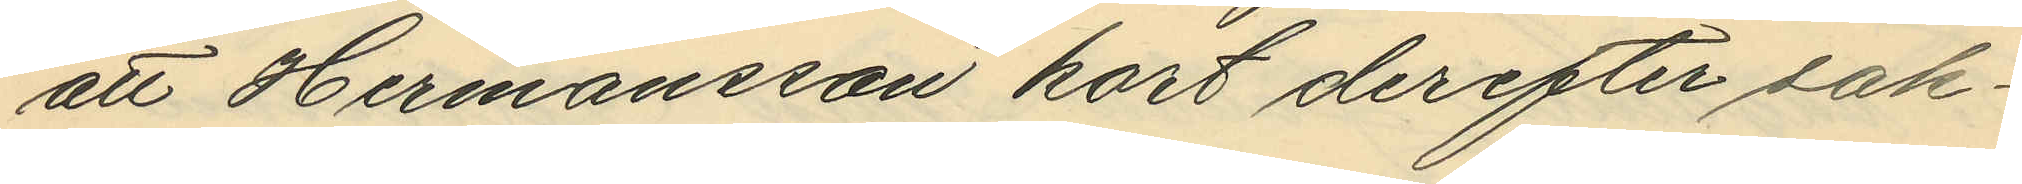att Hermansson kort derefter sak¬
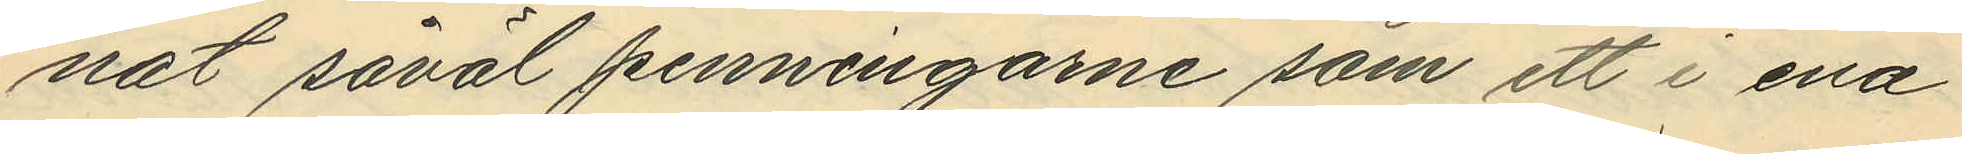nat såväl penningarne som ett i ena
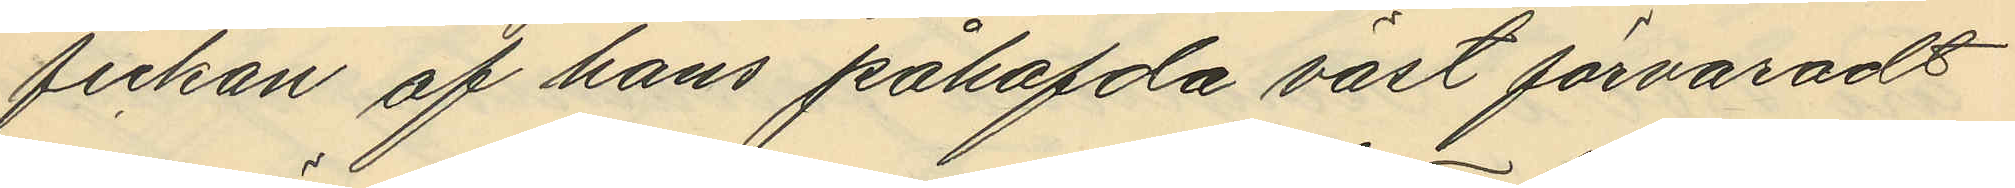fickan af hans påhafvda väst förvaradt
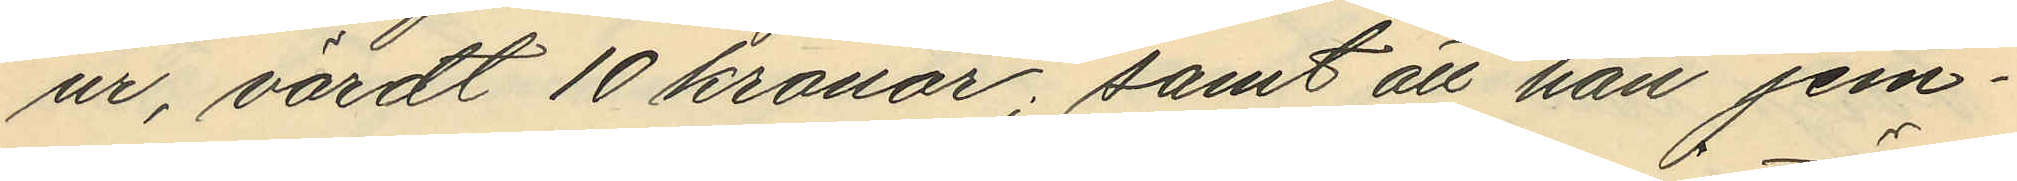ur, värdt 10 kronor; samt att han jem¬
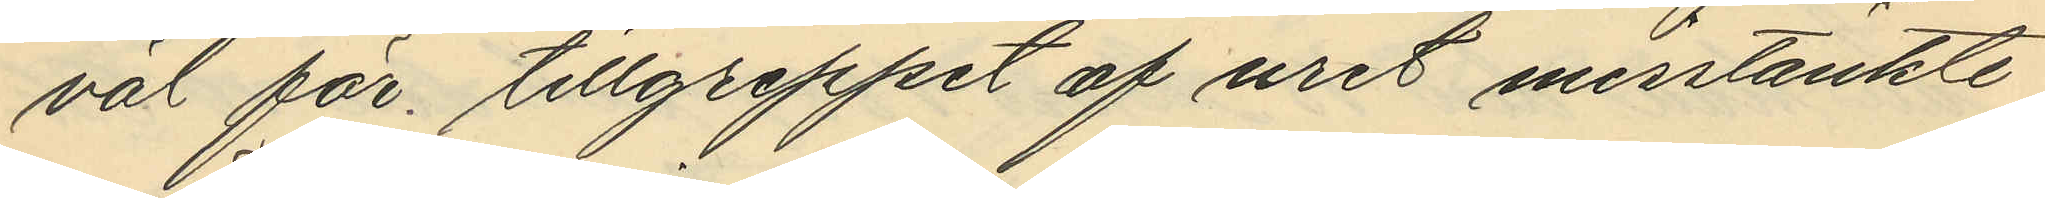väl för tillgreppet af uret misstänkte
